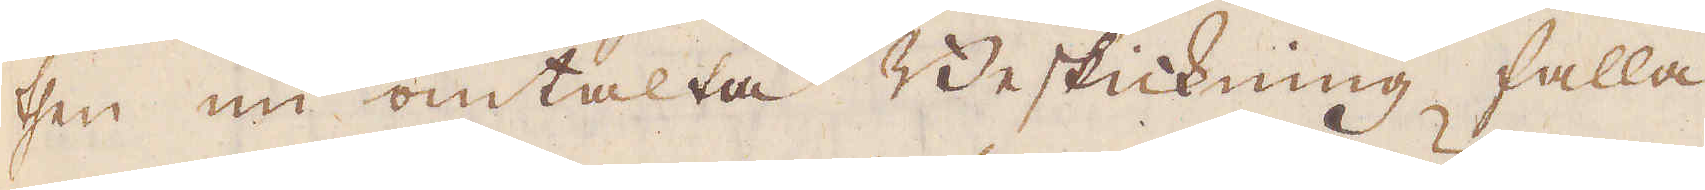then nu omtalta Beskickning falla
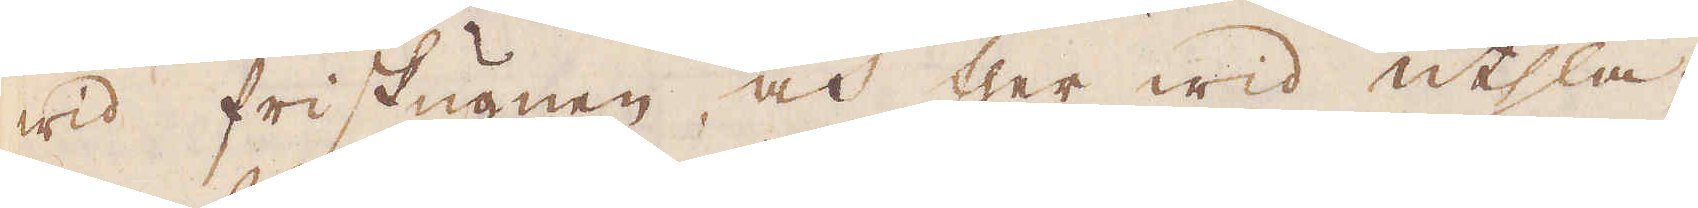wid friskugnen, och ther wid utsla-
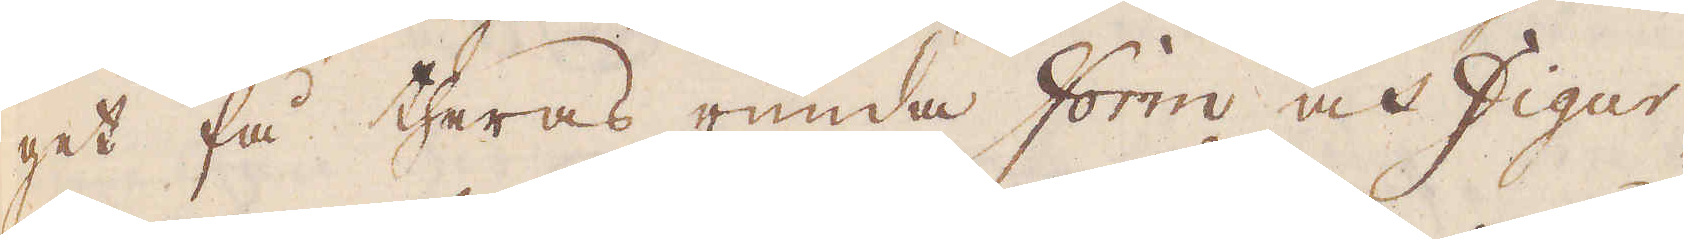get få theras runda form och figur
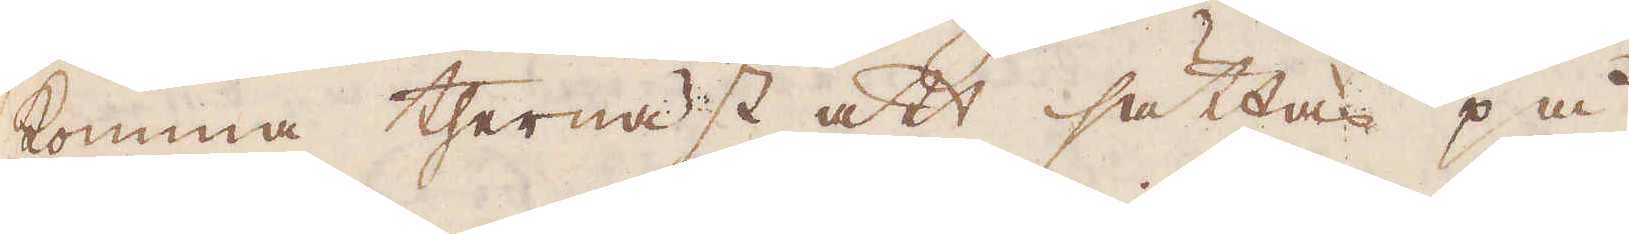komma thernäst att sättas på
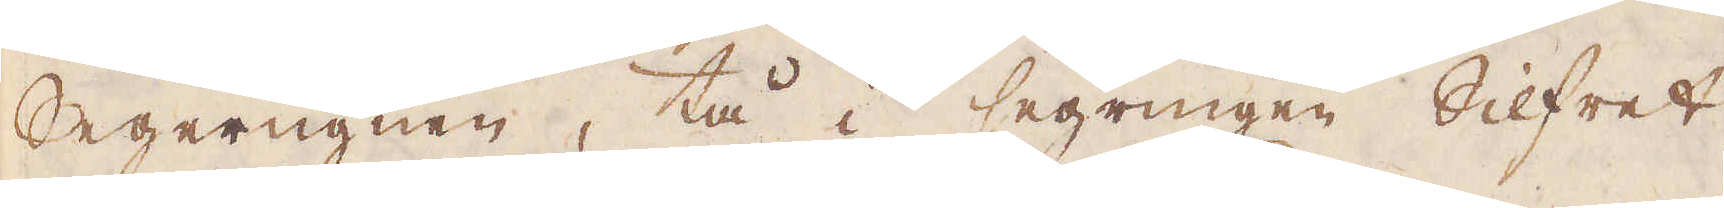Segerugnen, tå i segringen Silfret
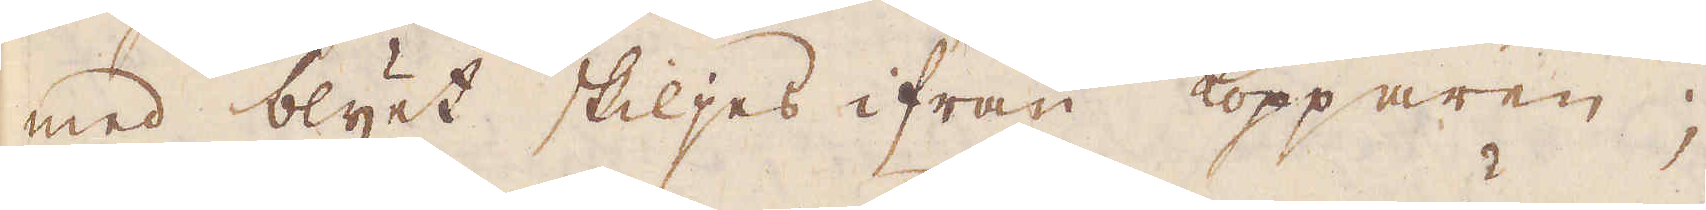med blyet skiljes ifrån kopparen;
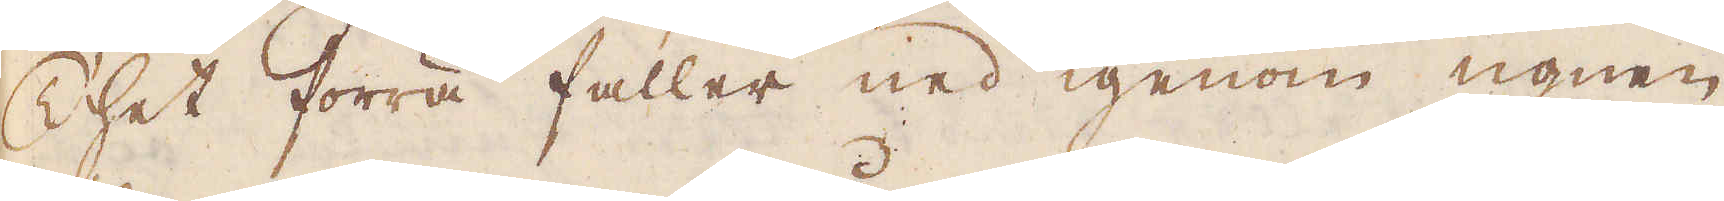Thet förra faller ned igenom ugnen
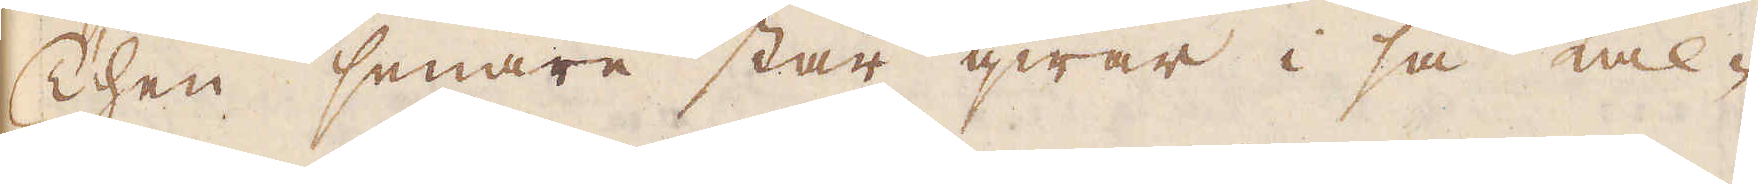Then senare står qwar i så kal-
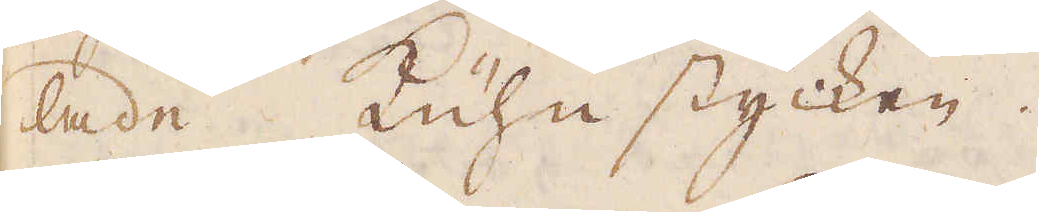tade Küuhn stycken.
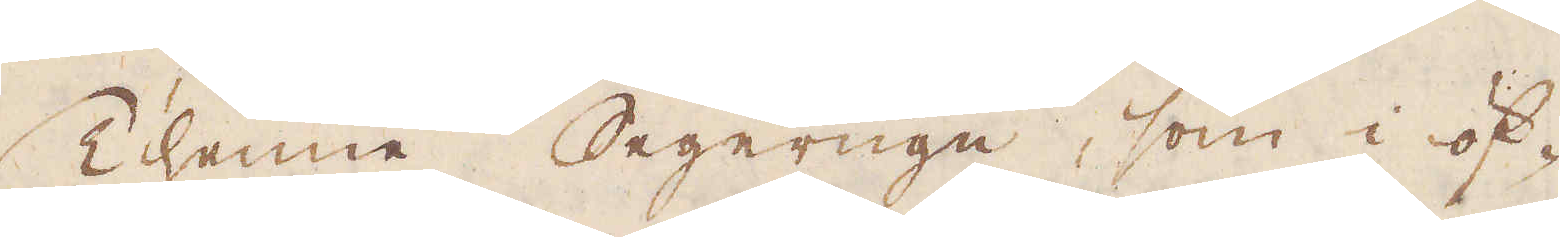Thenne Segerugn, som i öf-
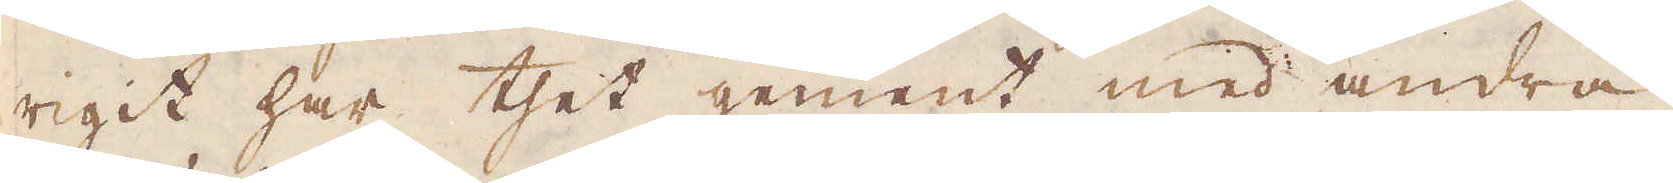rigit har thet gement med andra
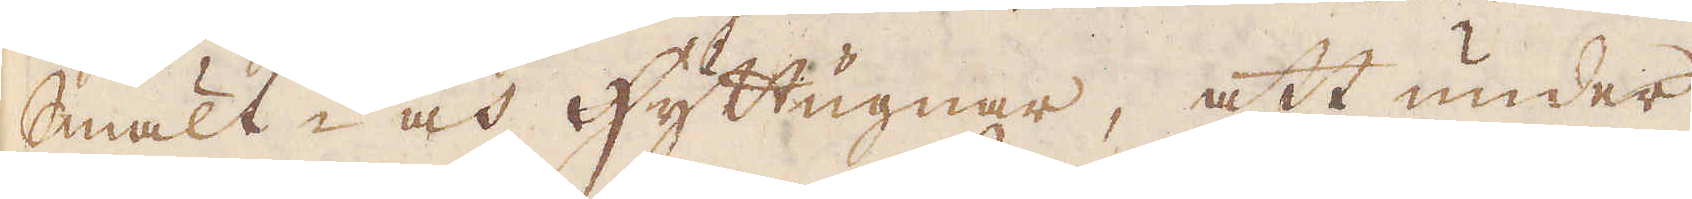Smält- och hyttugnar, att under
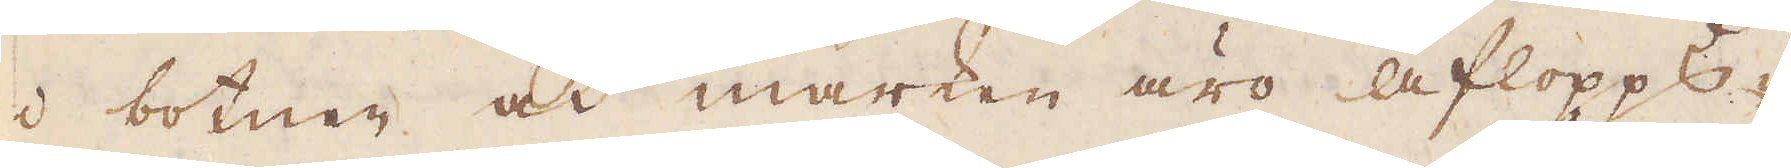i botnen och marken äro aflopps-
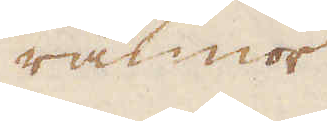rännor
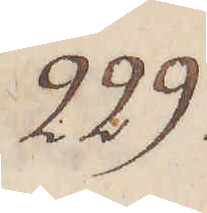229.
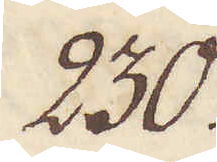230.
